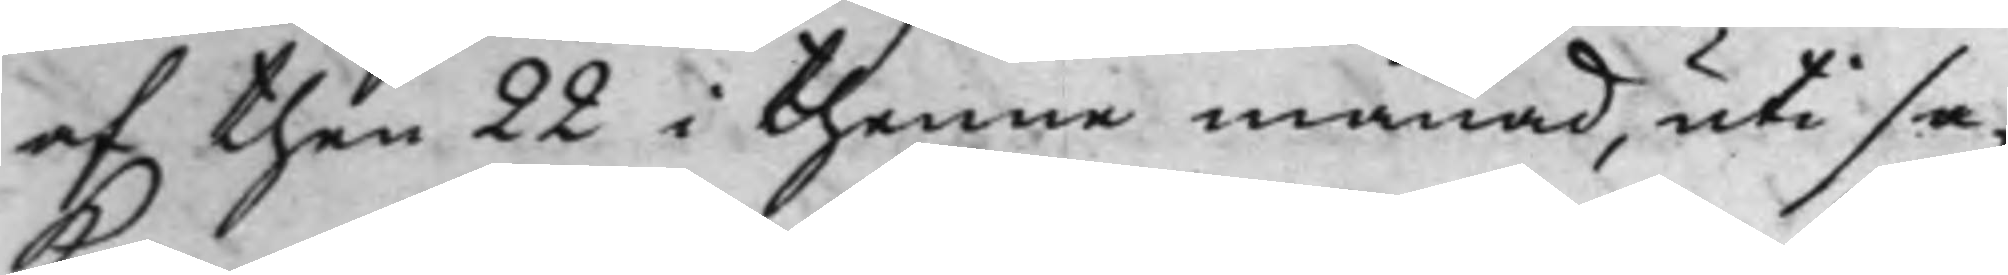af then 22 i thenne månad, uti sa¬
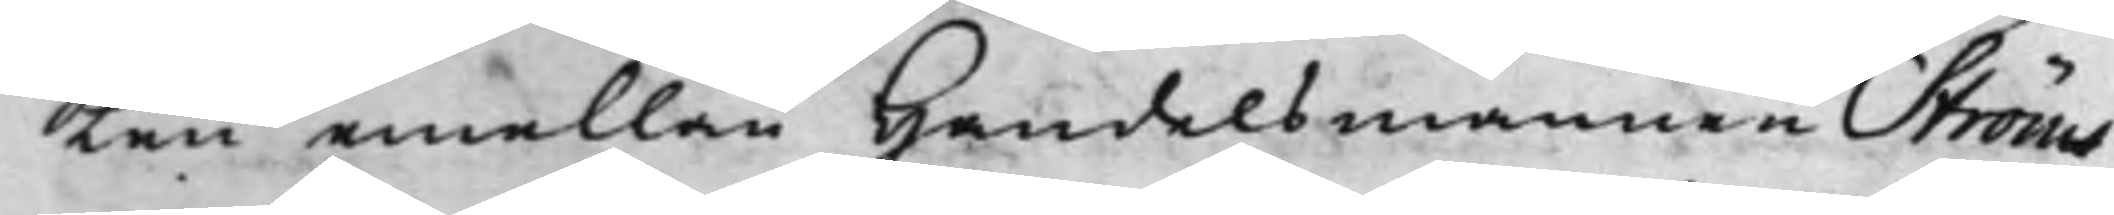Ken emellan Handelsmannen Ström
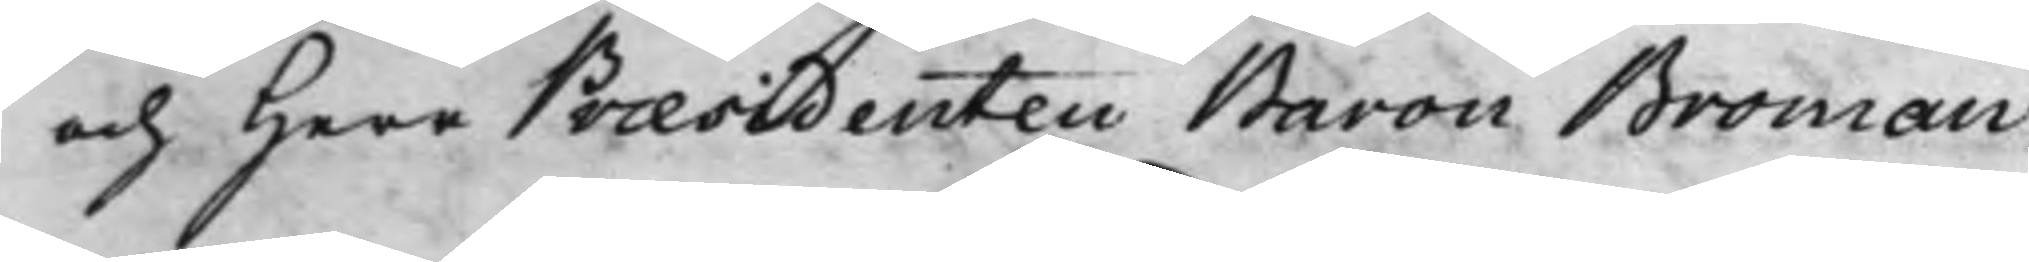och Herr Præsidenten Baron Broman.
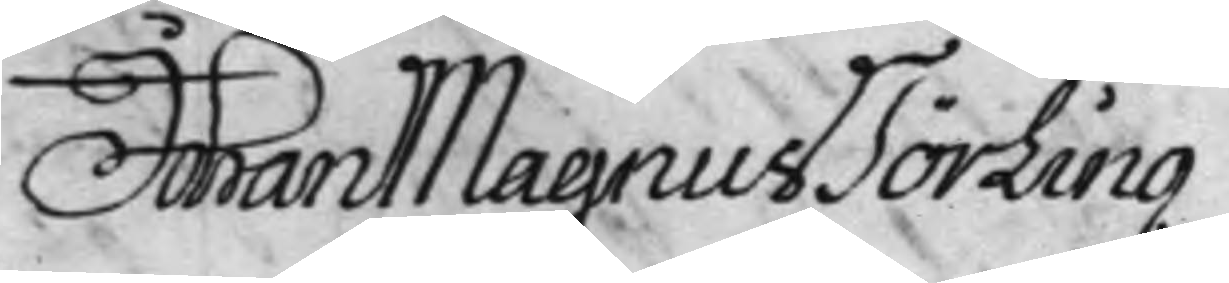Johan Magnus Törling
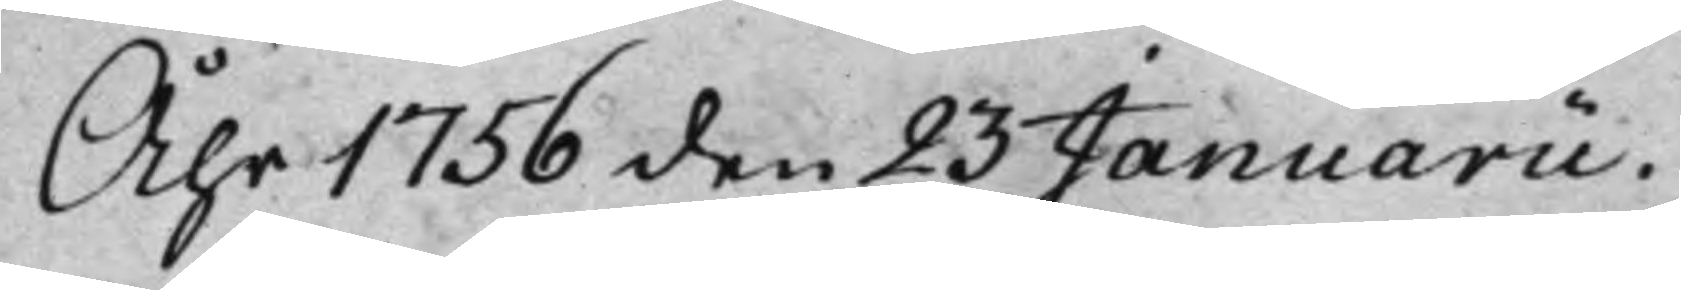Åhr 1756 den 23 Januarii.
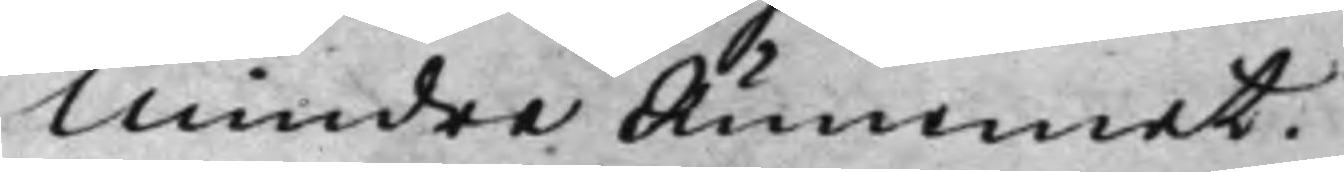Mindre Rummet.
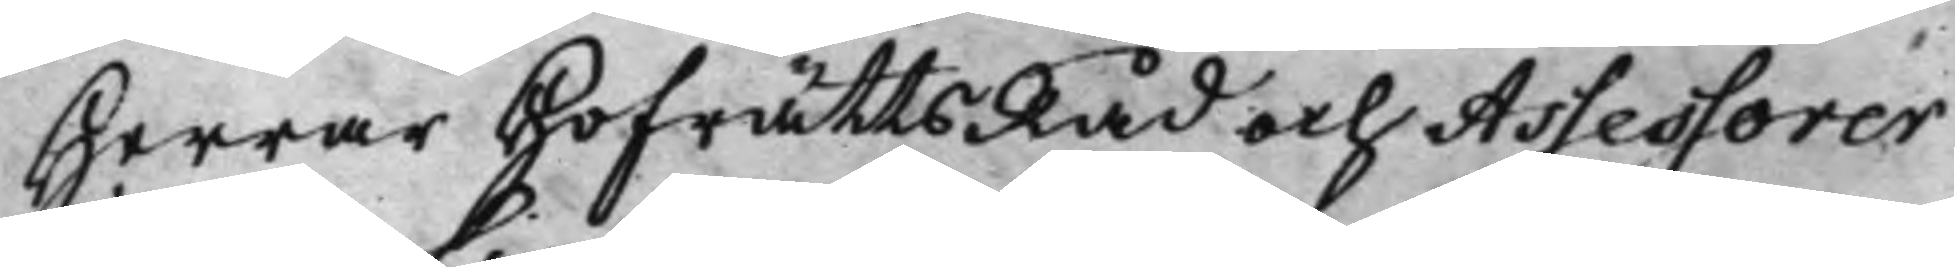Herrar HofrättsRåd och Assessorer
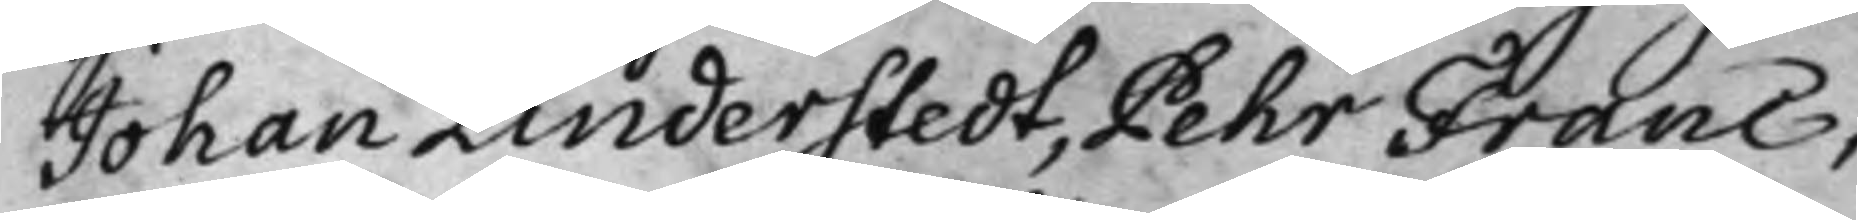Johan Linderstedt, Pehr Franc,
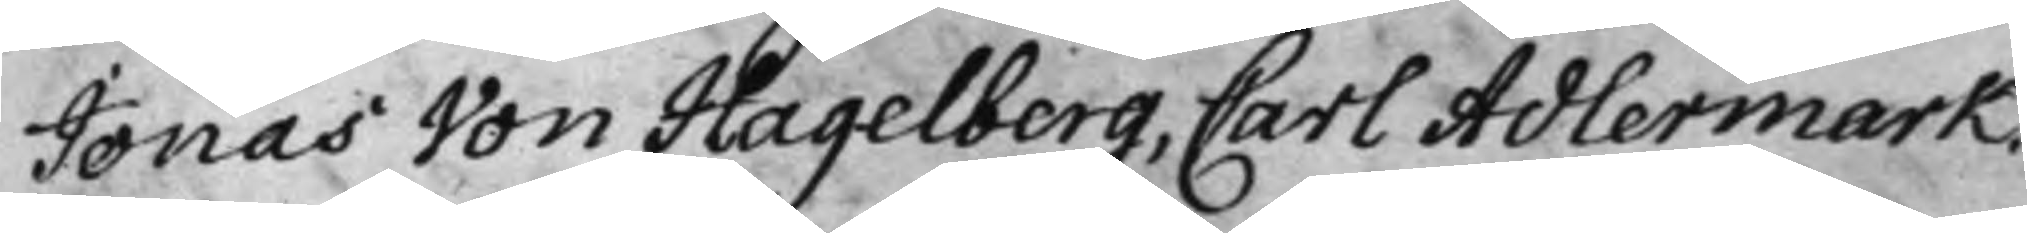Jonas Von Hagelberg, Carl Adlermark.
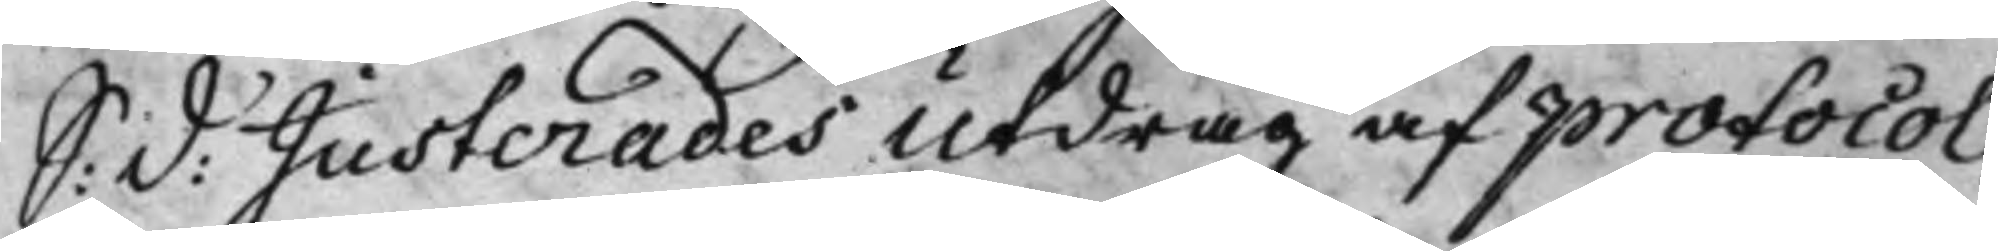S: d: Justerades Utdrag af protocol¬
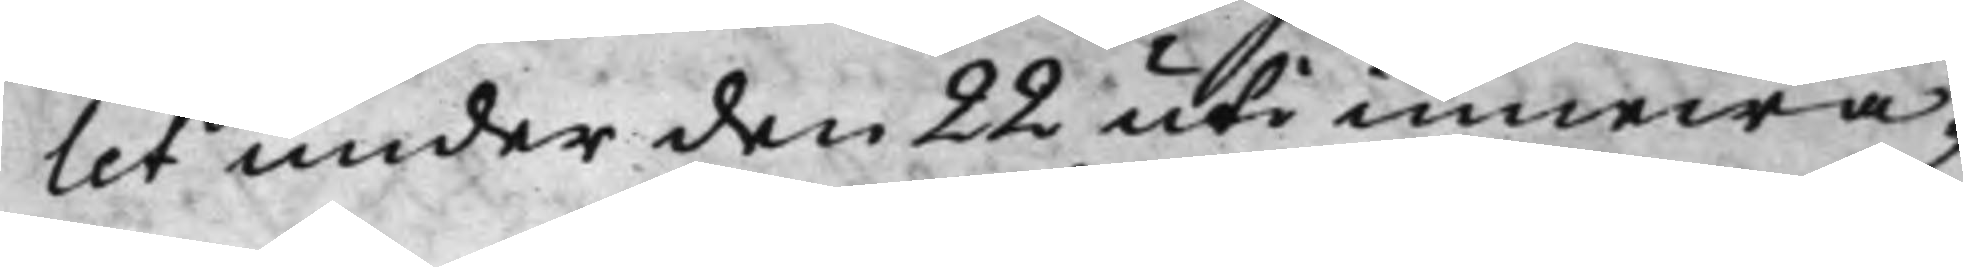let under den 22 uti innewa¬
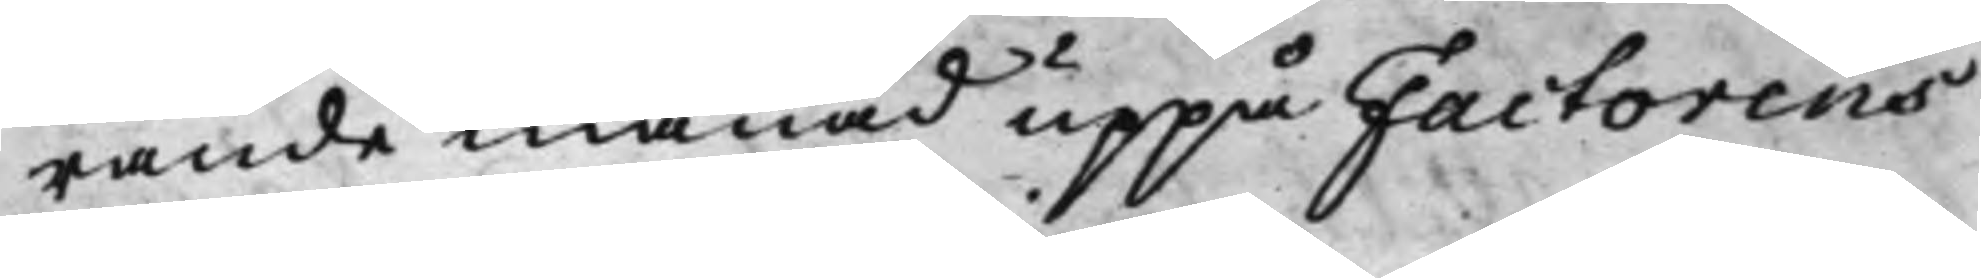rande månad uppå Factorens
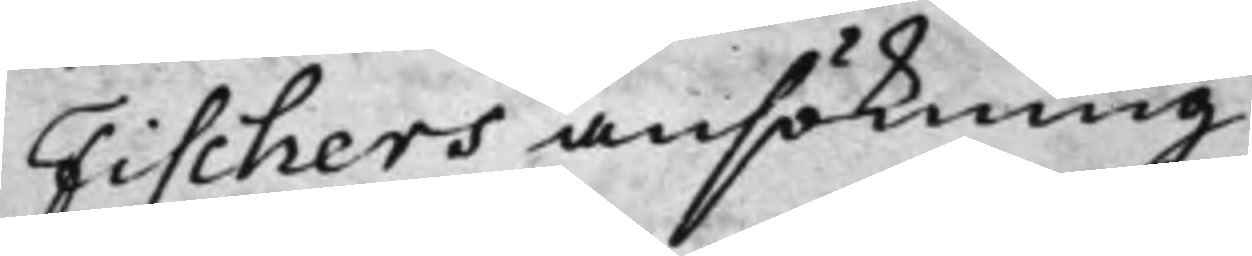Fischers ansökning.
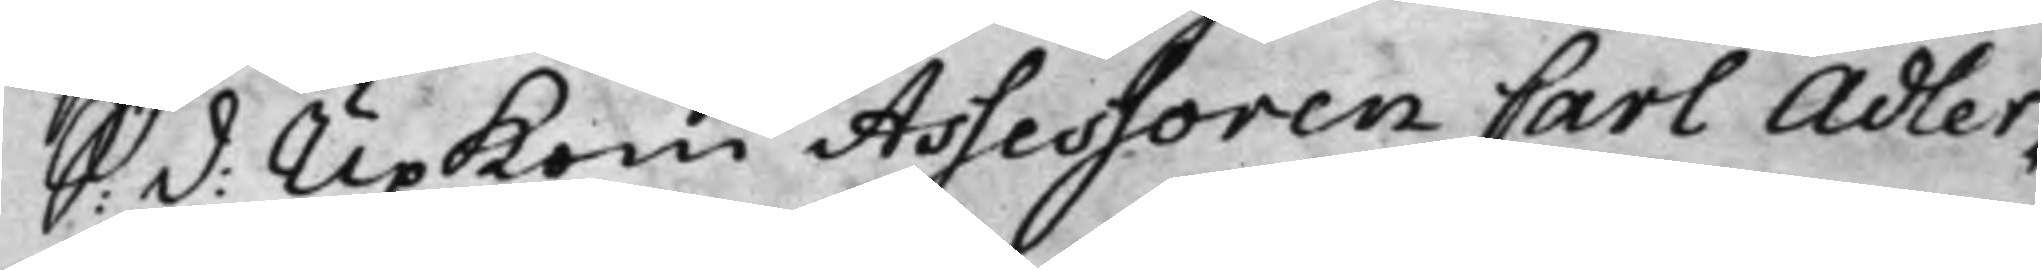S: d: Upkom Assessoren Carl Adler¬
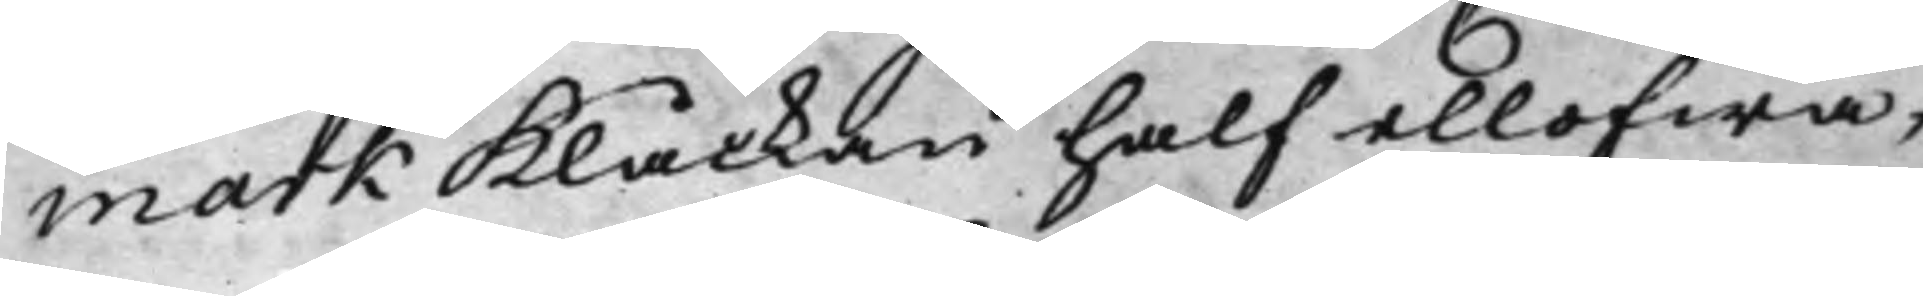mark Klåckan half ellofwa,
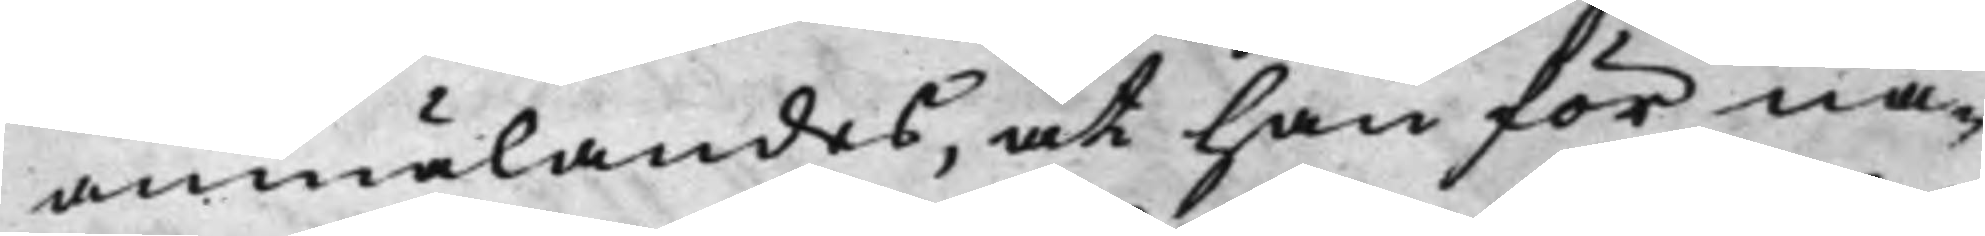anmälandes, at han för nå¬
